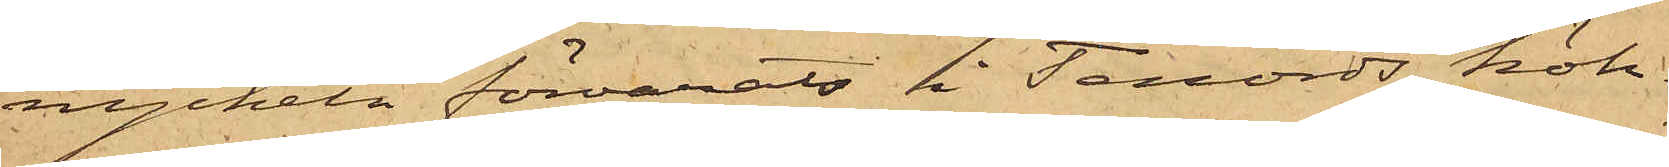nyckeln förvarats i Tenords kök.
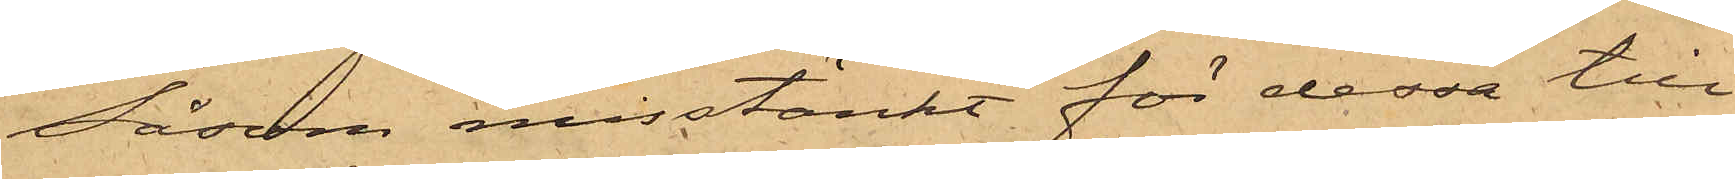Såsom misstänkt för dessa till¬
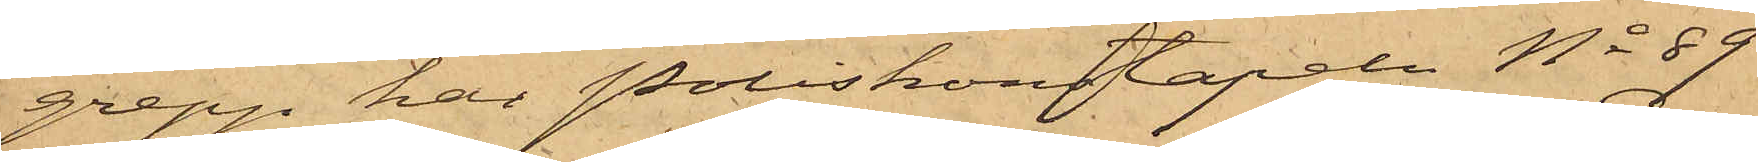grepp har Poliskonstapeln No 89
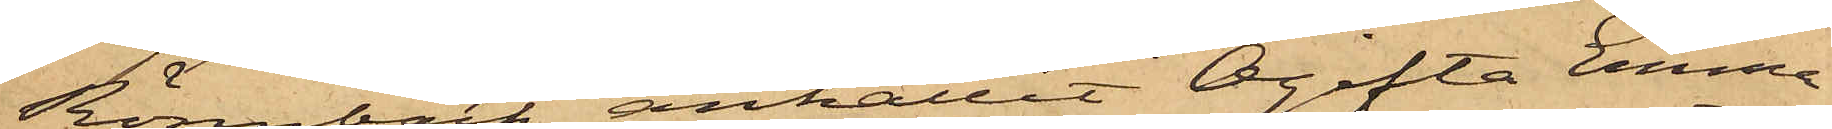Rönnbäck anhållit Ogifta Emma
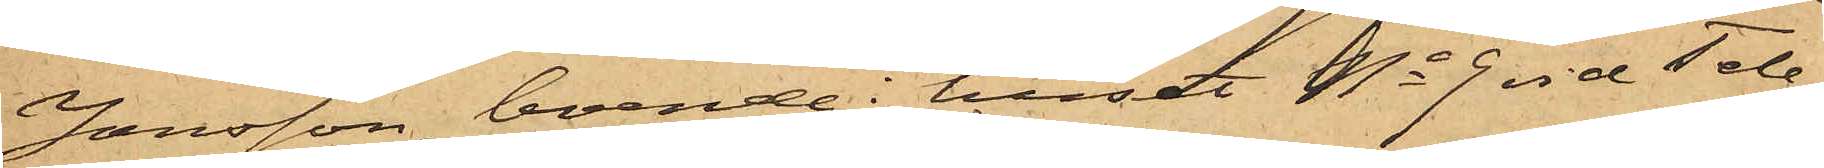Jansson, boende i huset No 9 vid Tele¬
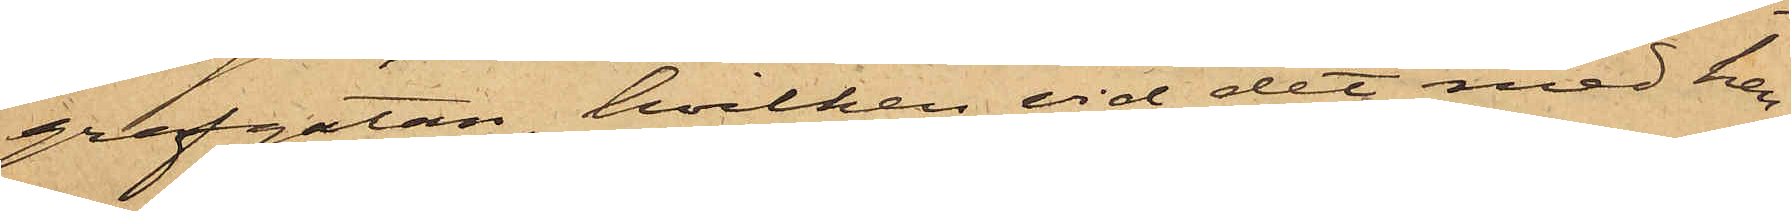grafgatan, hvilken vid det med hen¬
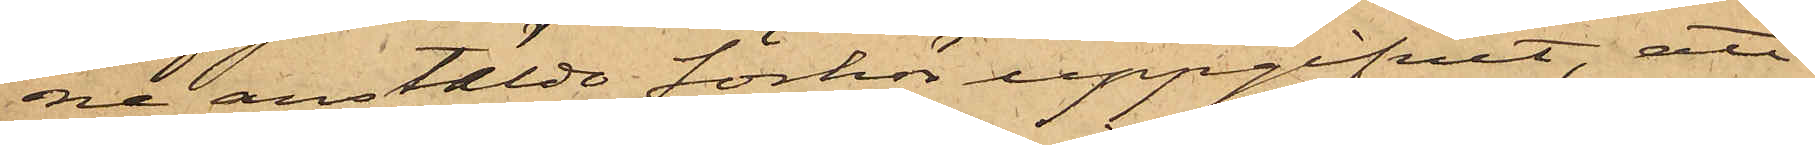ne anstälde förhör uppgifvit, att
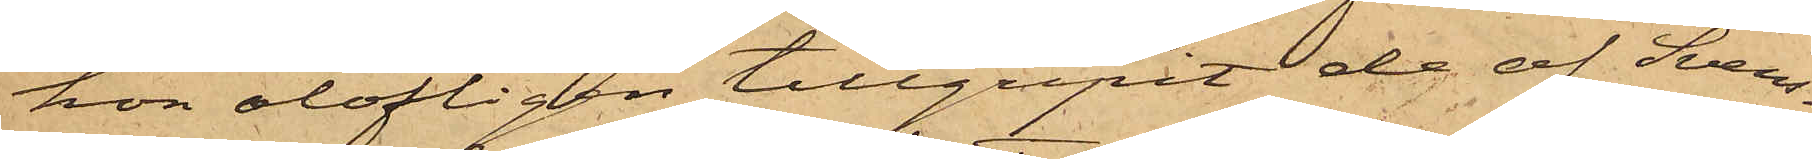hon olofligen tillgripit de af Svens¬
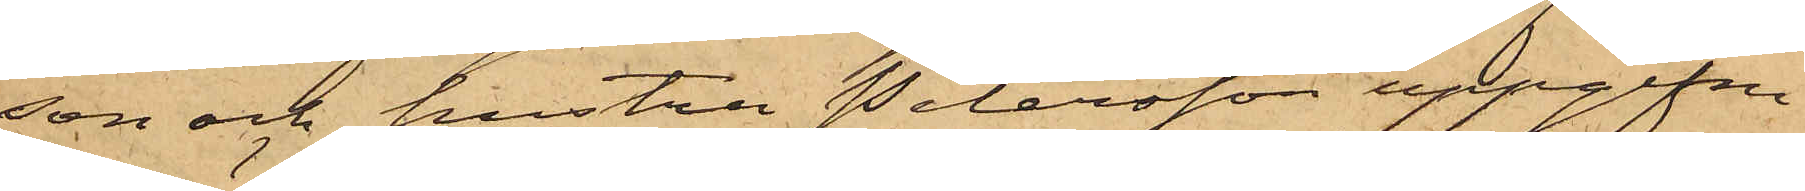son och hustru Petersson uppgifne
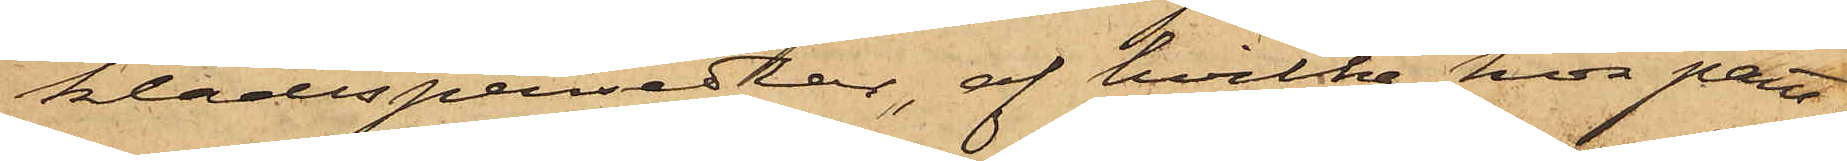klädespersedlar, af hvilka hon pant¬
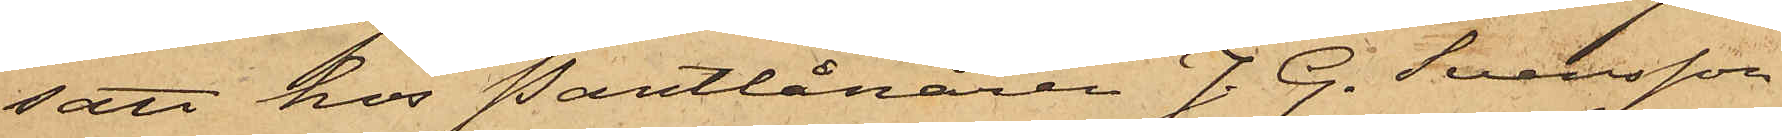satt hos Pantlånaren J. G. Svensson
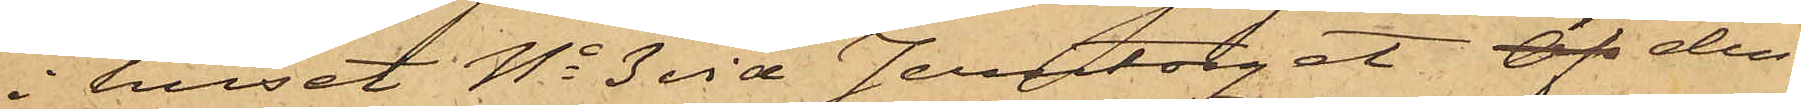i huset No 3 vid Jerntorget Öf den
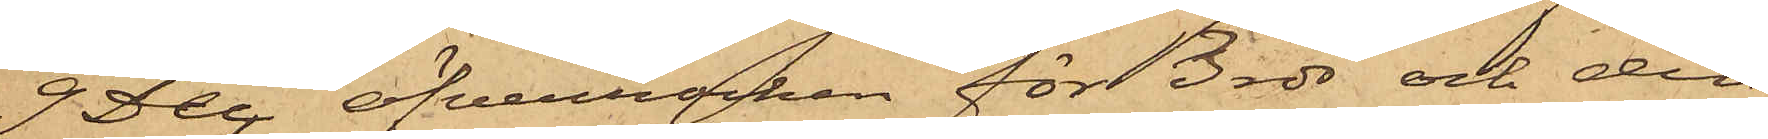9 Dec öfverrocken för 3 rdr och den
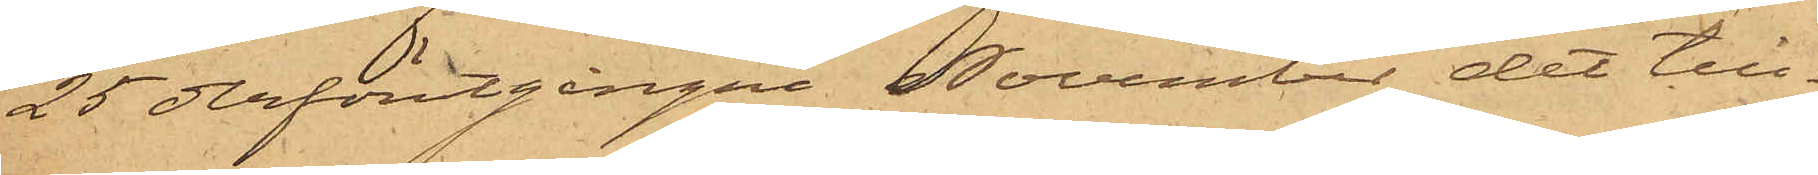25 derförutgångne November det till¬
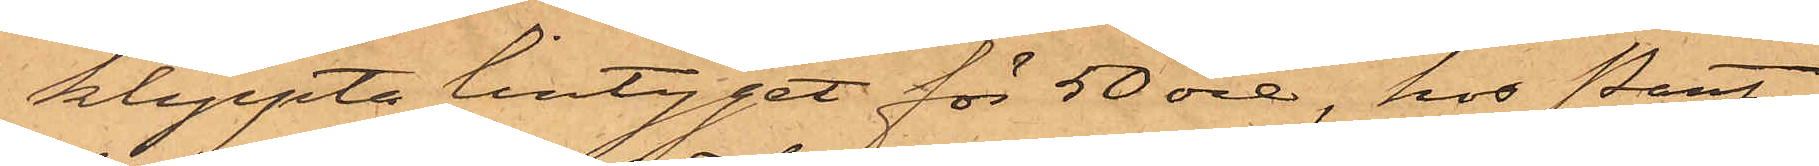klippta lintyget för 50 öre, hos Pant¬
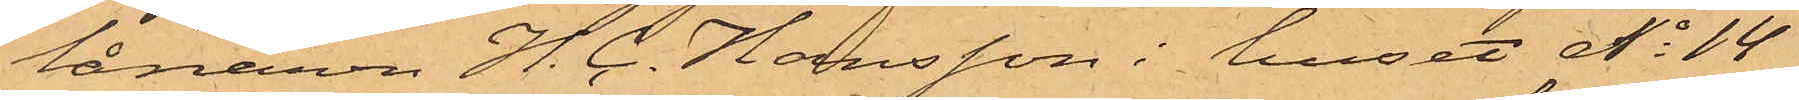lånaren H. C. Hansson i huset No 14
